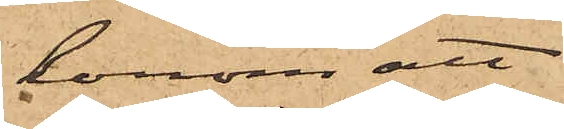honom att
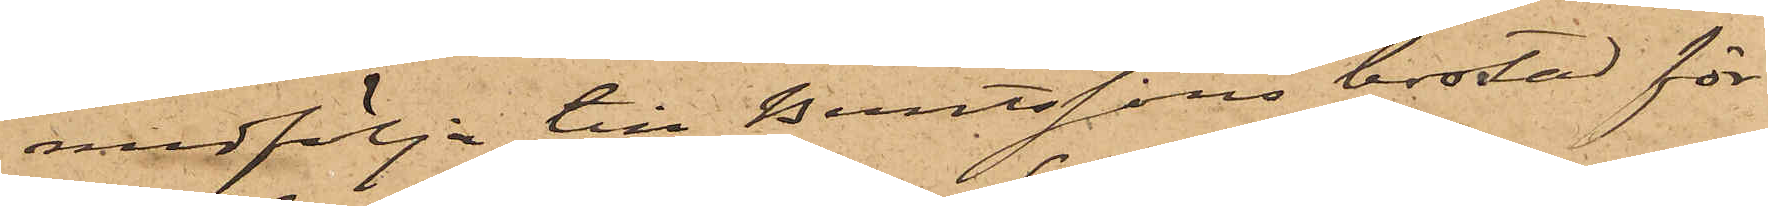medfölja till Berntssons bostad för
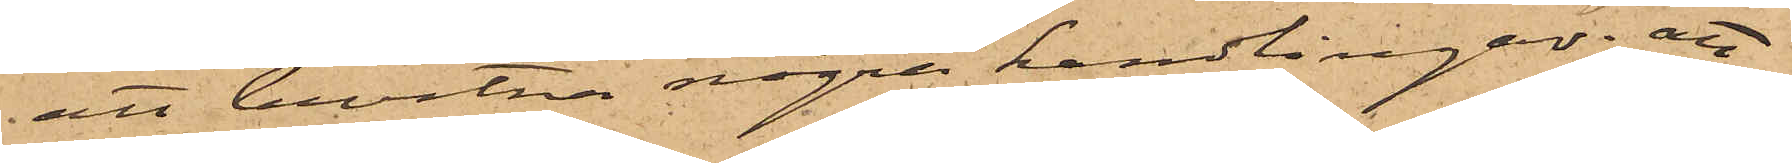att bevitna några handlingar; att
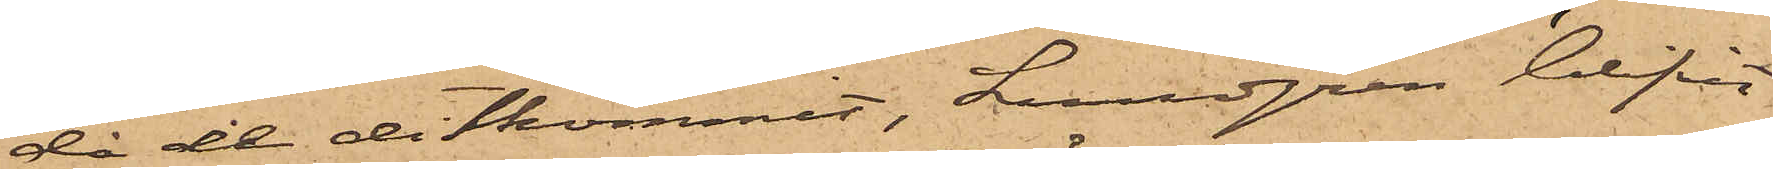då de ditkommit, Lundgren blifvit
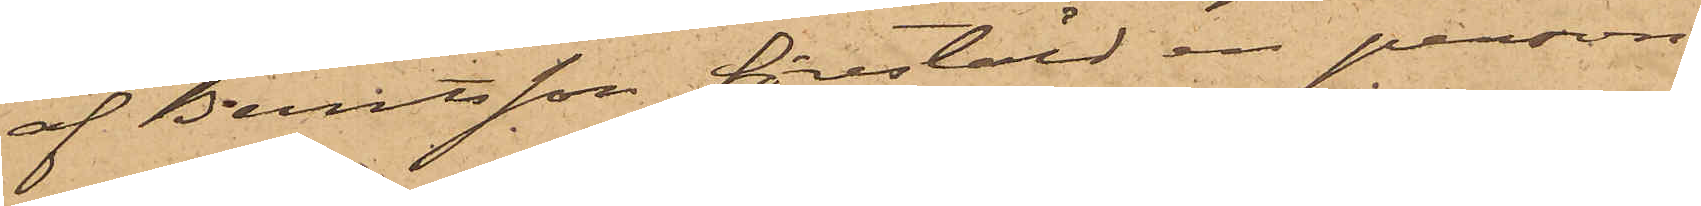af Berntsson förestäld en person,
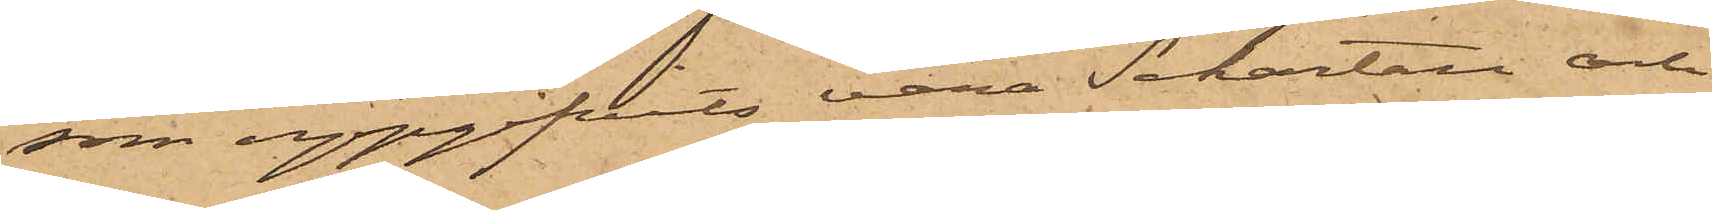som uppgifvits vara Schartau och
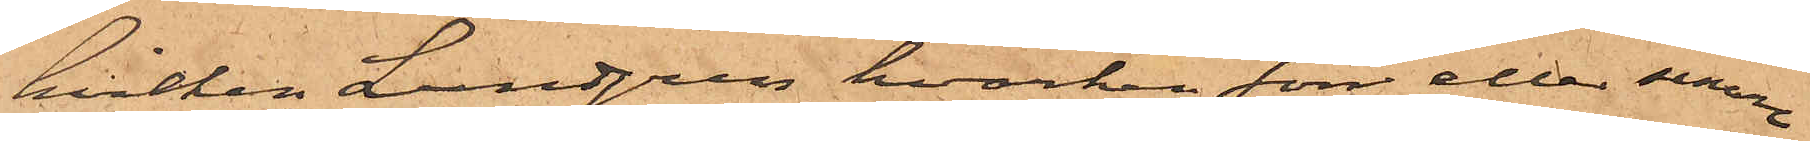hvilken Lundgren hvarken förr eller senare
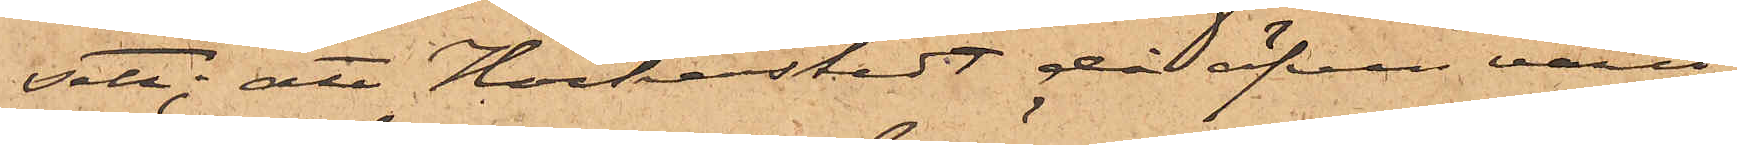sett; att Höckerstedt då äfven varit
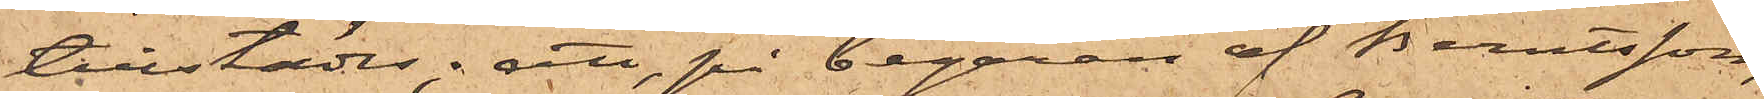tillstädes; att, på begäran af Berntsson,
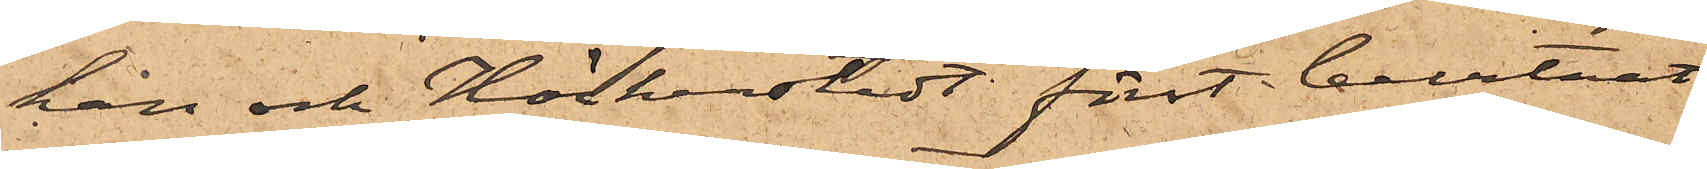han och Höckerstedt först bevitnat
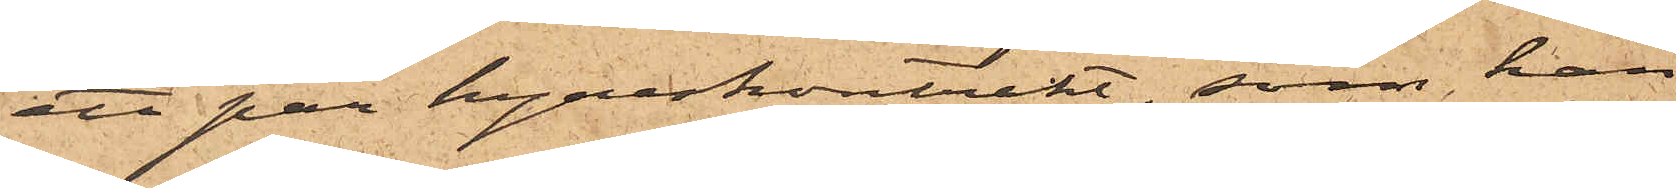ett par hyreskontrakt, som han
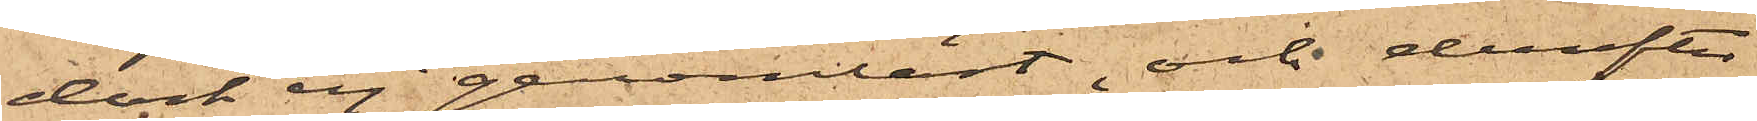dock ej genomläst, och derefter
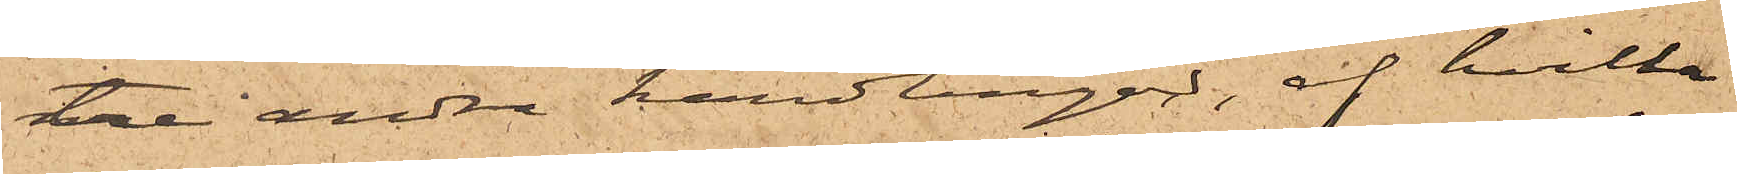tre andra handlingar, af hvilka
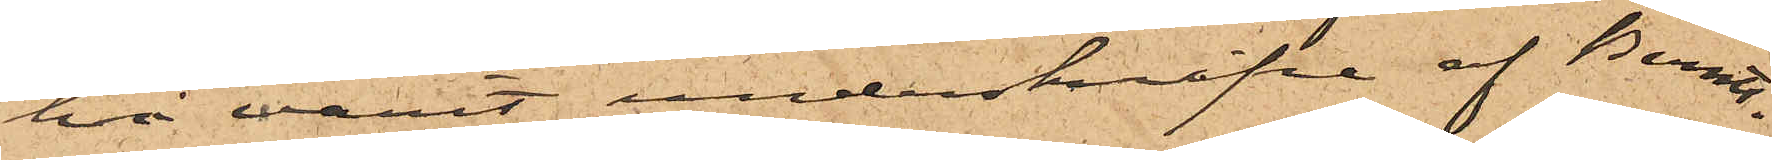två varit underskrifne af Berndts¬
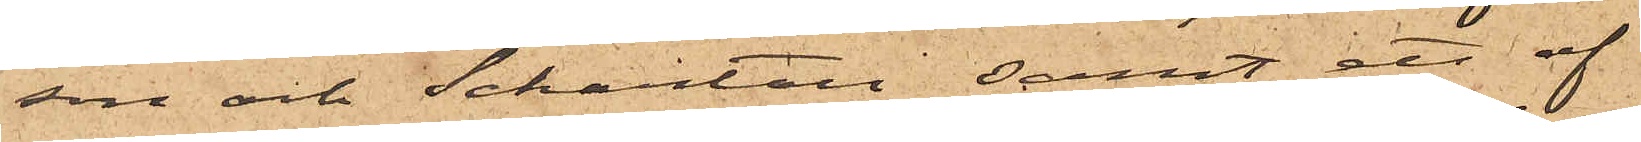son och Schartau samt ett af
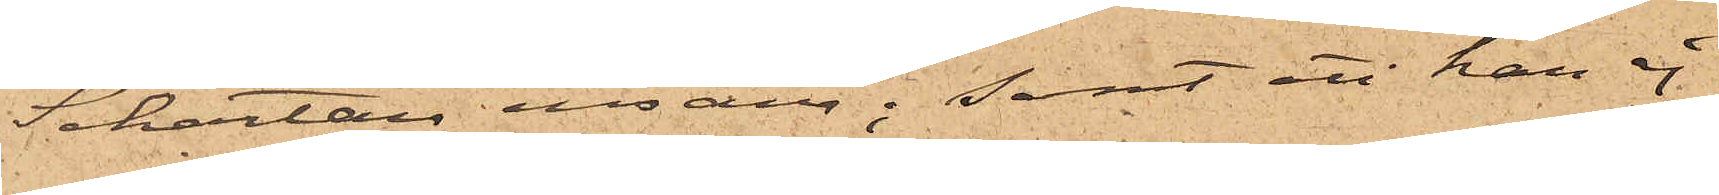Schartau ensam; samt att han ej
